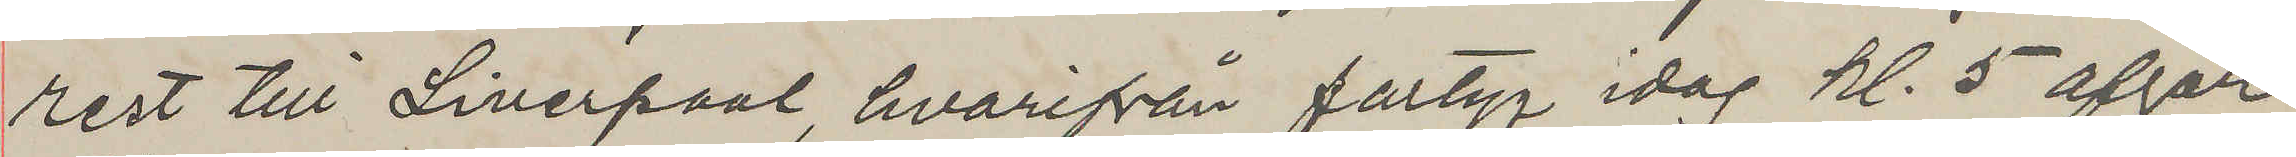rest till Liverpool, hvarifrån fartyg idag kl. 5 afgår
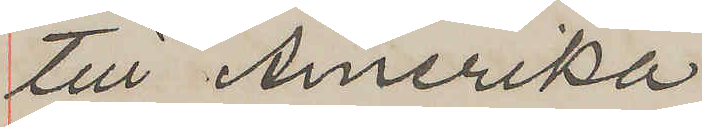till Amerika
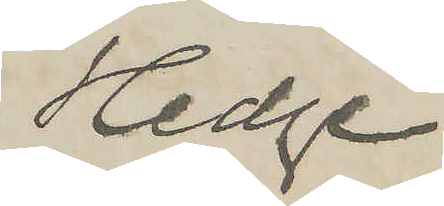Hedge
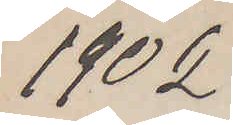1892.
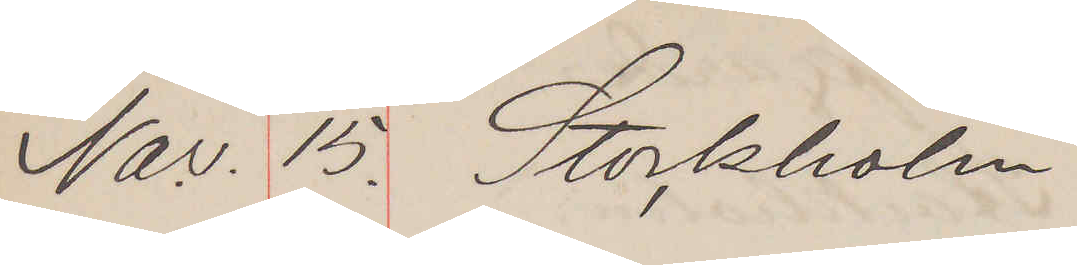Nov. 15. Stockholm
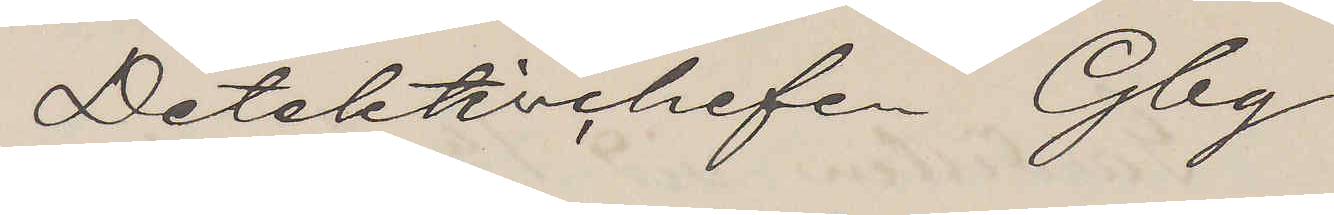Detektivchefen Gbg
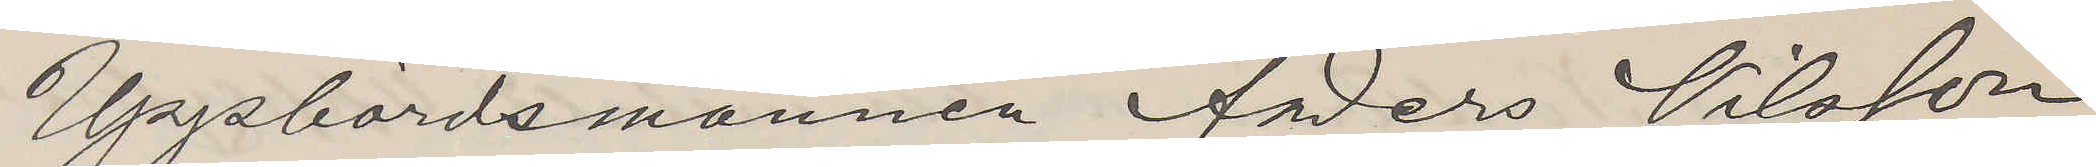Uppbördsmannen Anders Nilsson
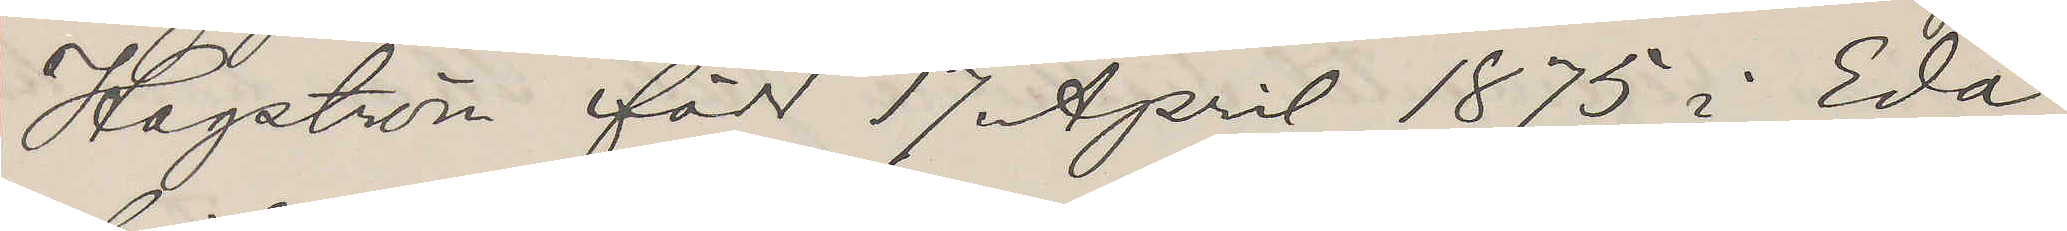Hagström född 17 April 1875 i Eda
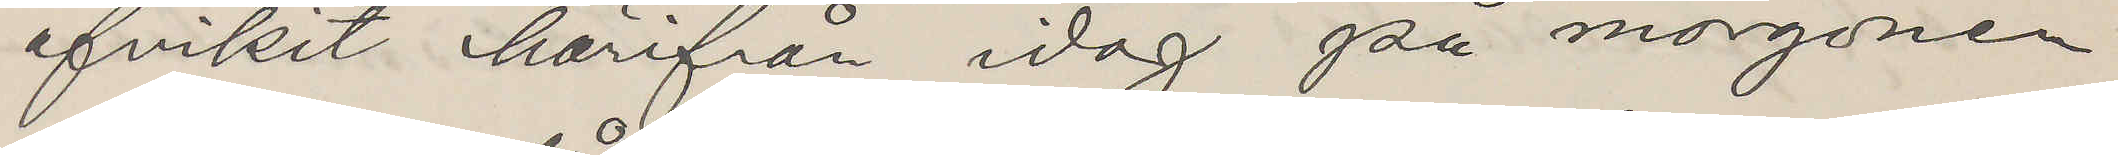afvikit härifrån idag på morgonen
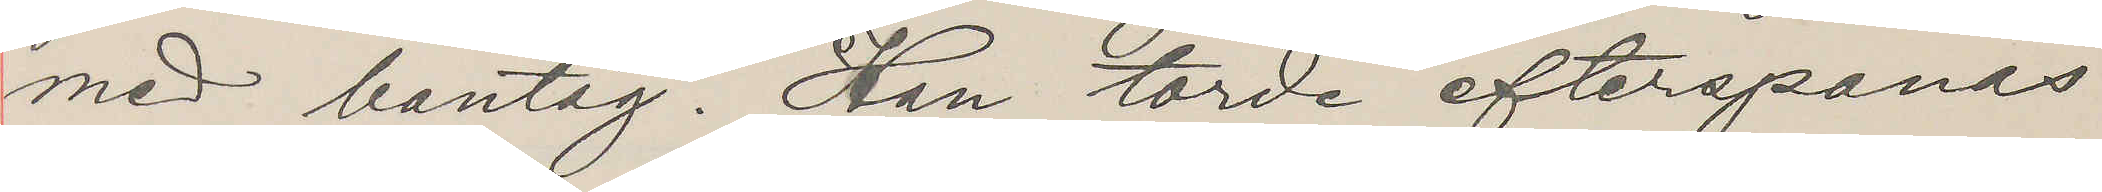med bantåg. Han torde efterspanas
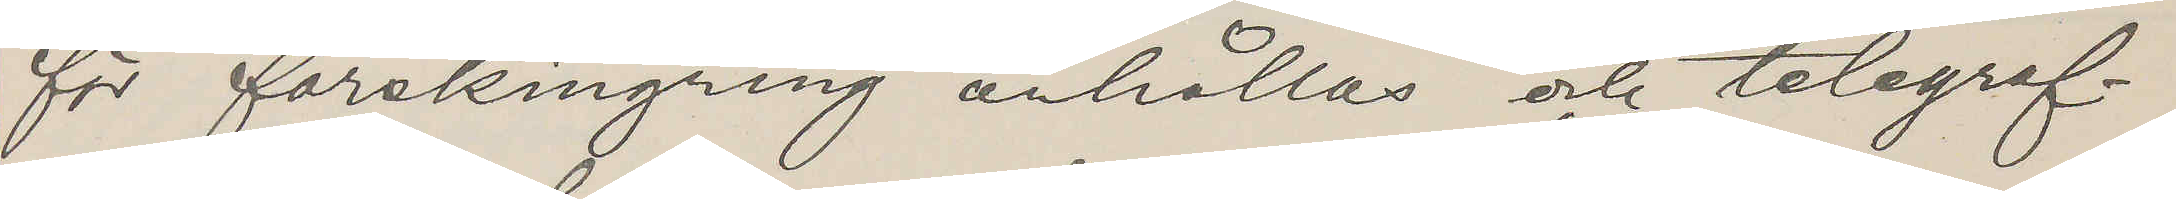för förskingring anhållas och telegref¬
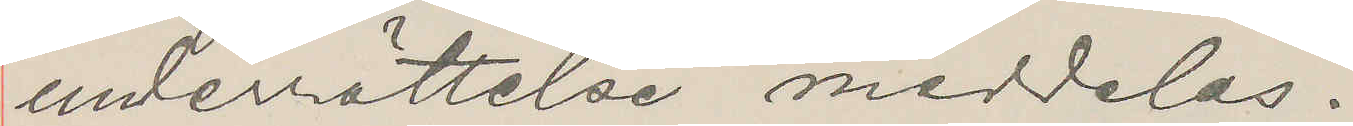inderrättelse meddelas.
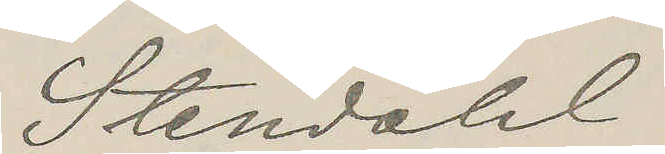Stendahl
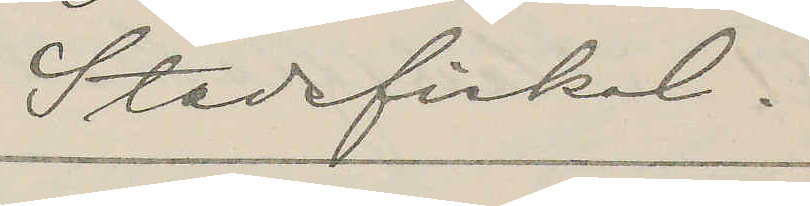Stadsfiskal.
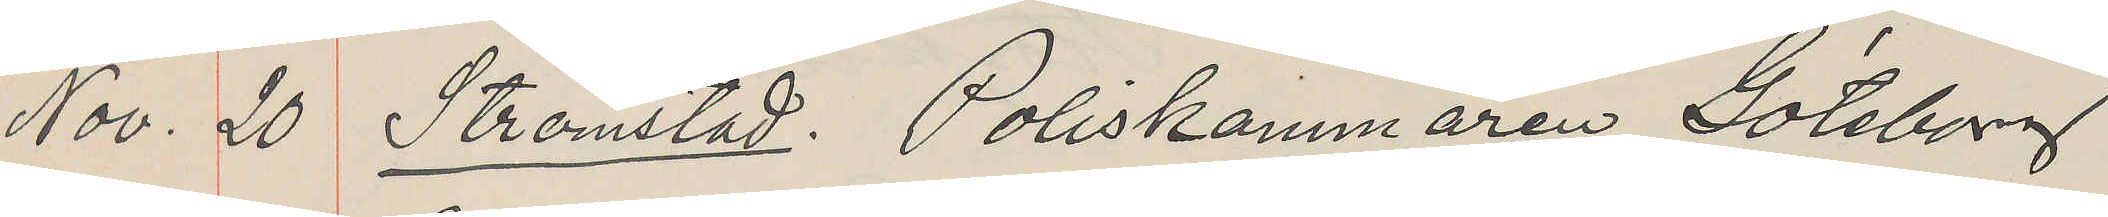Nov. 20 Strömstad. Poliskammaren Göteborg
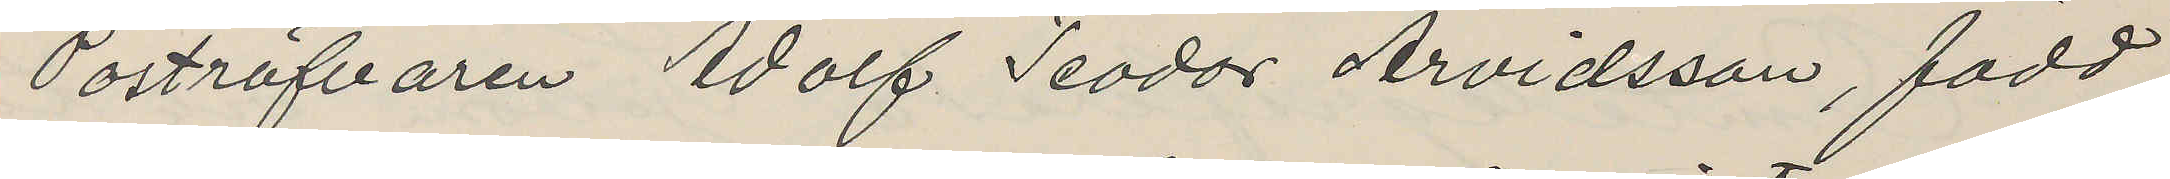Poströfvaren Adolf Teodor Arvidsson, född
